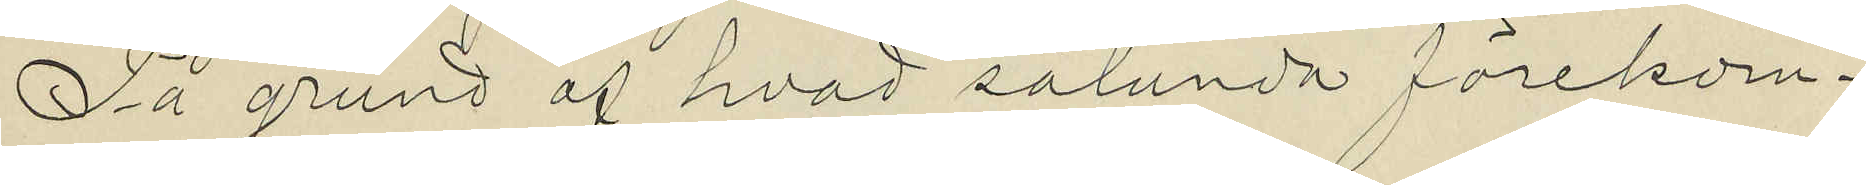På grund af hvad sålunda förekom¬
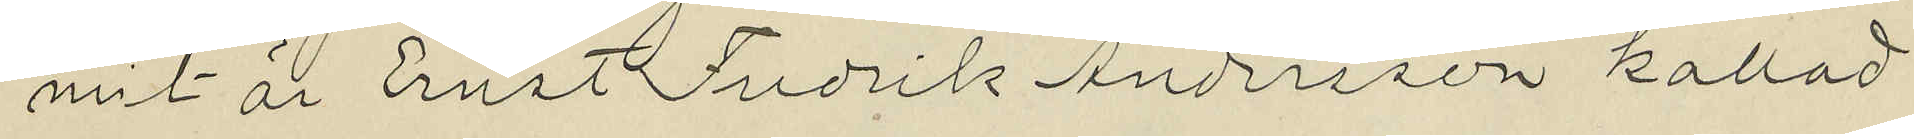mit är Ernst Fredrik Andersson kallad
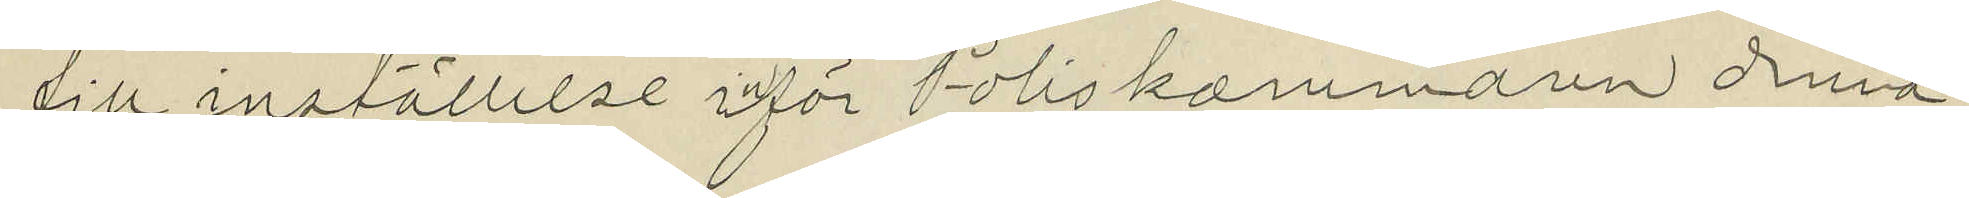till inställelse inför Poliskammaren denna
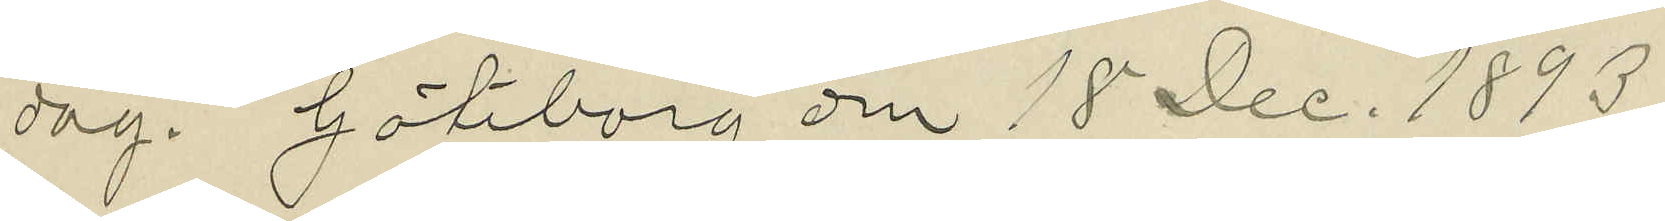dag. Göteborg den 15 Dec. 1893
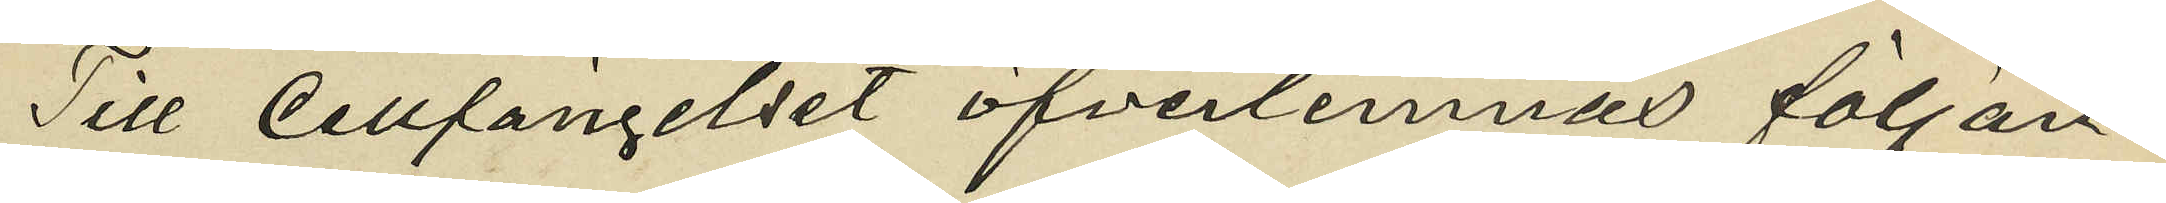Till Cellfängelset öfverlemnas följan¬
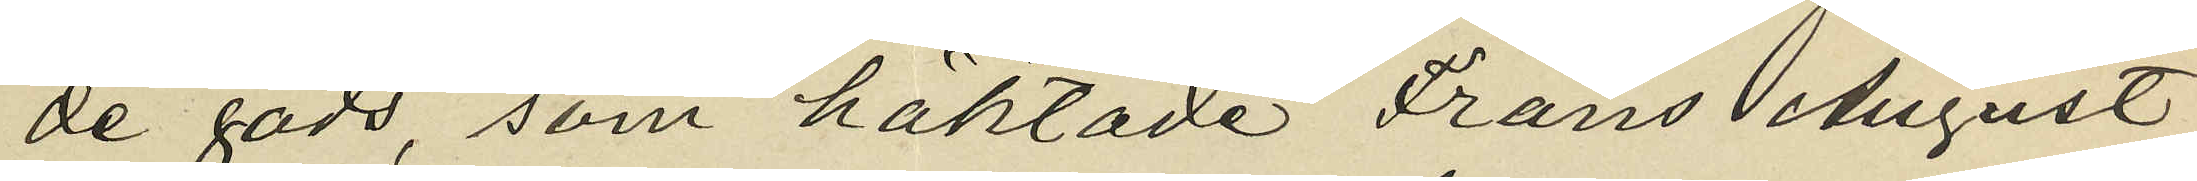de gods, som häktade Frans August
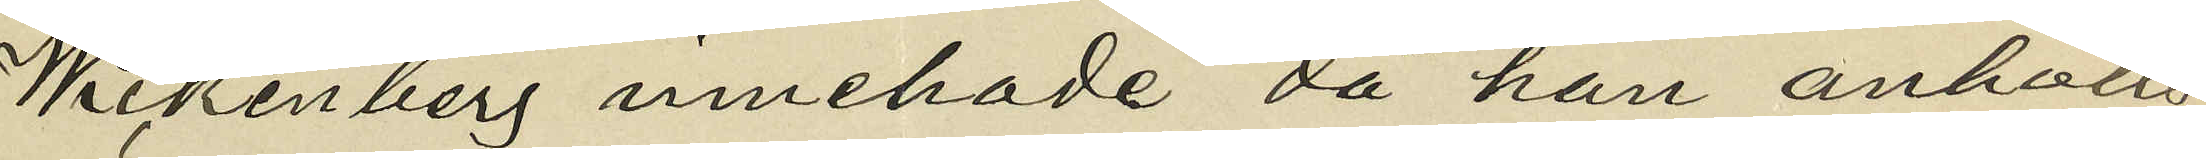Wickenberg innehade då han anhölls,
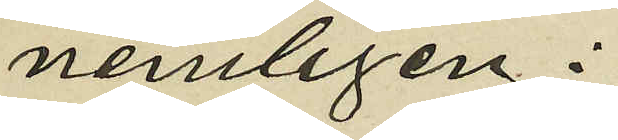nemligen:
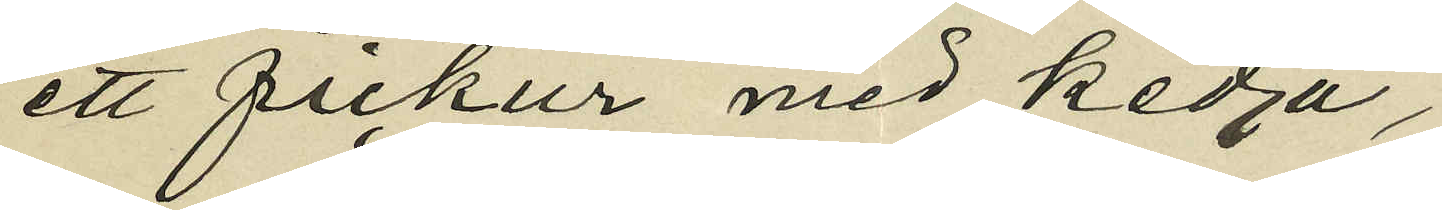ett fickur med kedja,
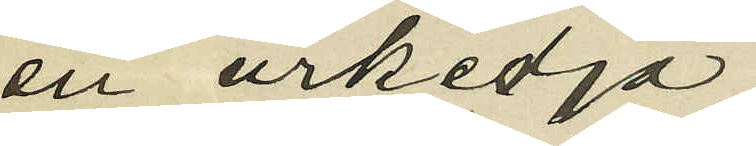en urkedja,
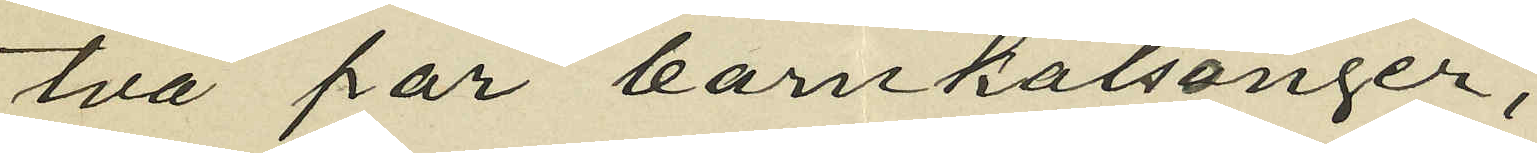två par barnkalsonger,
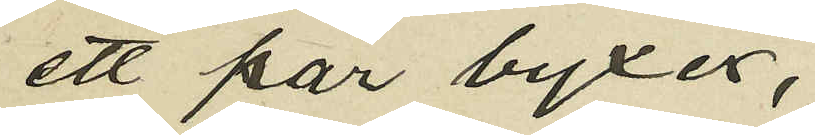ett par byxor,
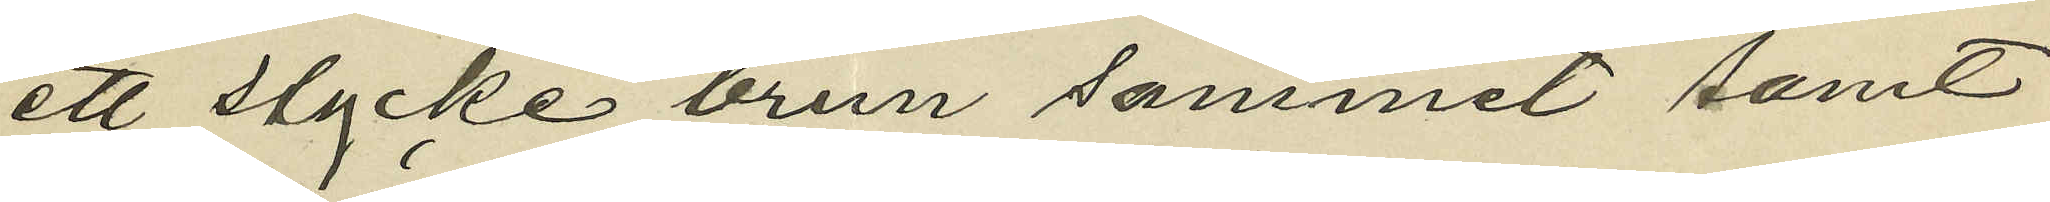ett stycke brun sammet samt
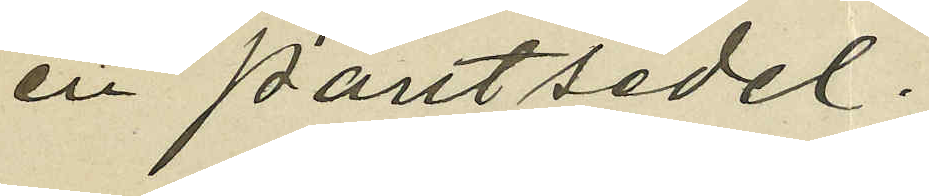en pantsedel.
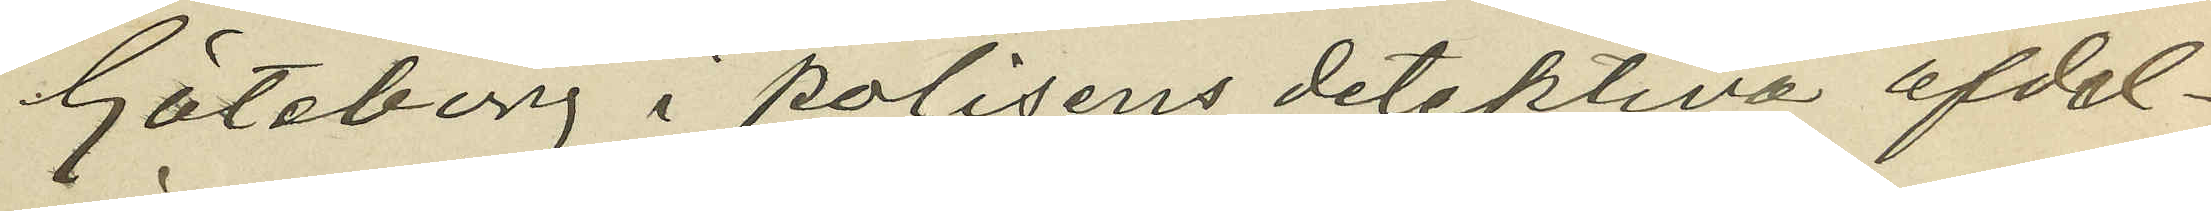Göteborg i polisens detektiva afdel¬
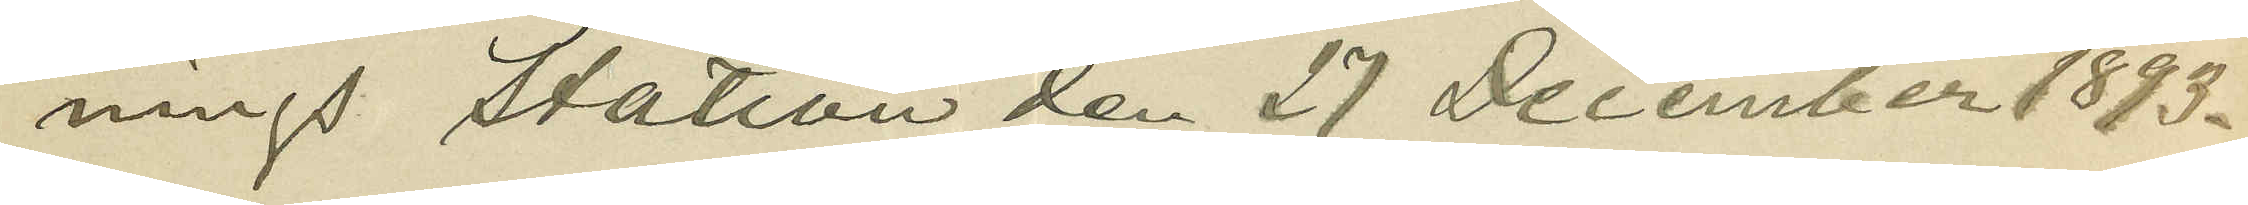nings station den 27 December 1893.
